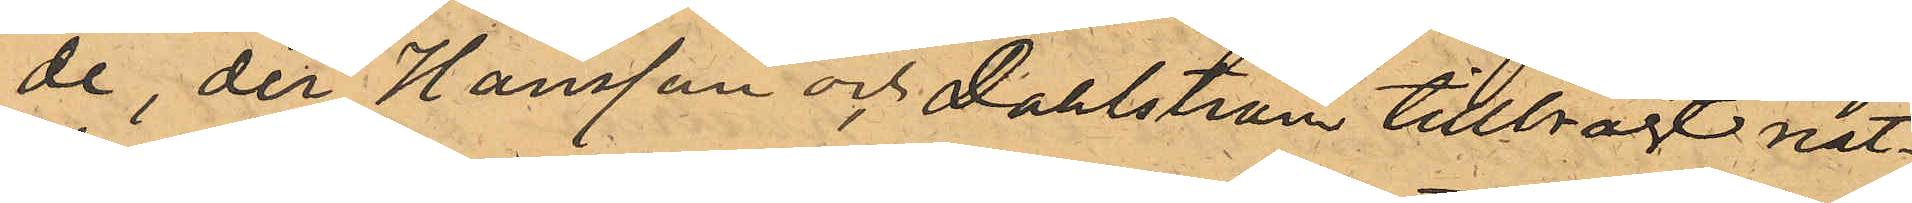de, der Hansson och Dahlström tillbragt nat¬
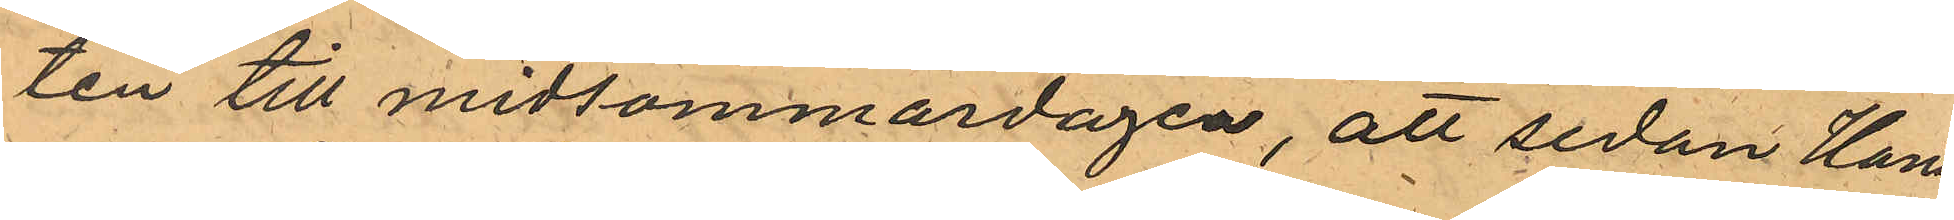ten till midsommardagen, att sedan Hans¬
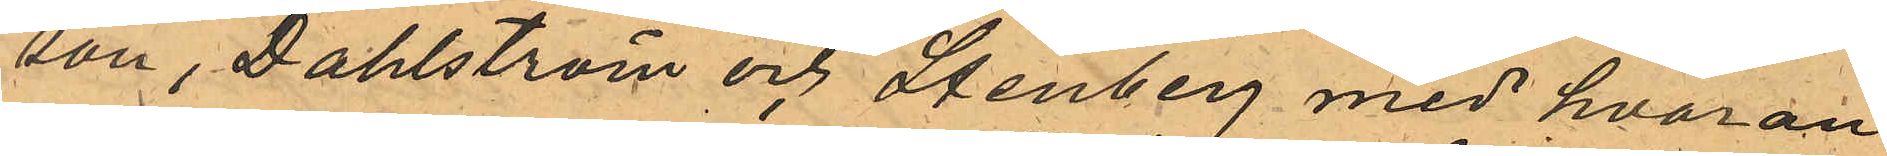son, Dahlström och Stenberg med hvaran¬
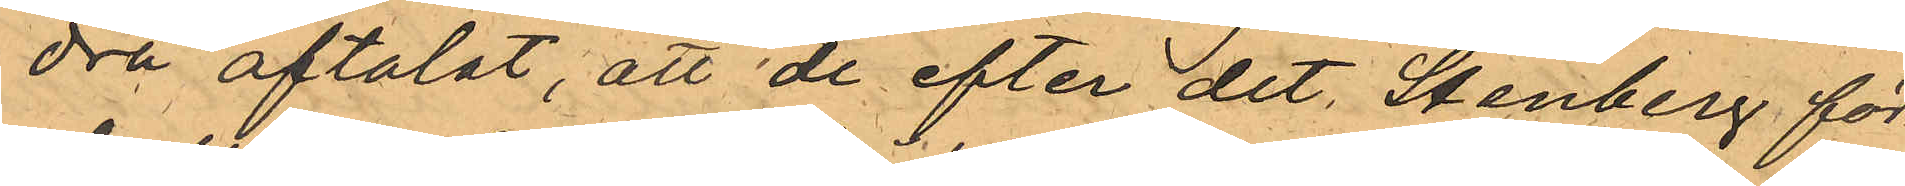dra aftalat, att de efter det, Stenberg för¬
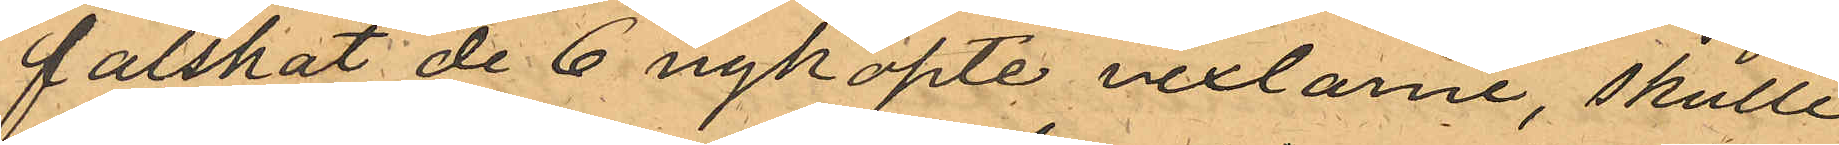falskat de 6 nyköpte vexlarne, skulle
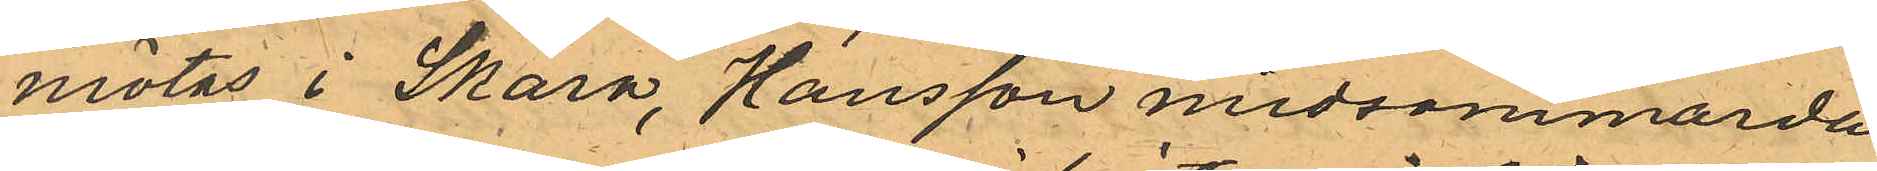mötas i Skara, Hansson midsommarda¬
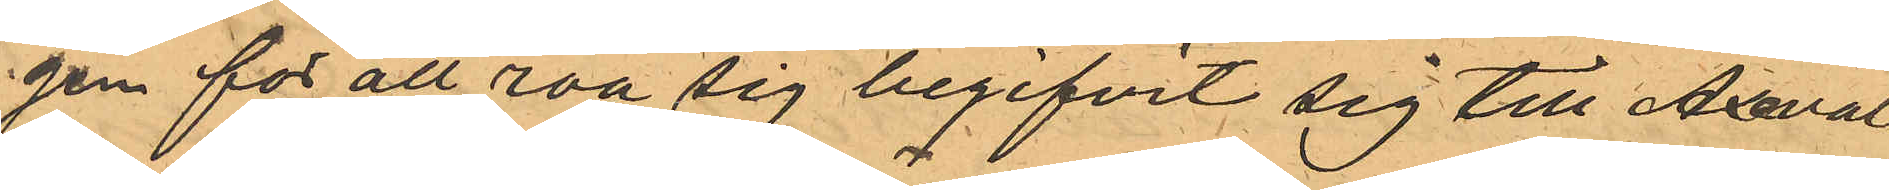gen for att roa sig begifvit sig till Axeval¬
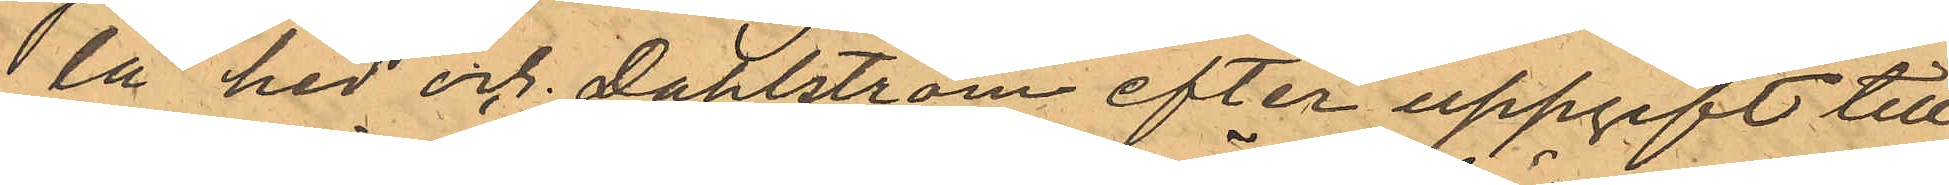la hed och Dahlström efter uppgift till
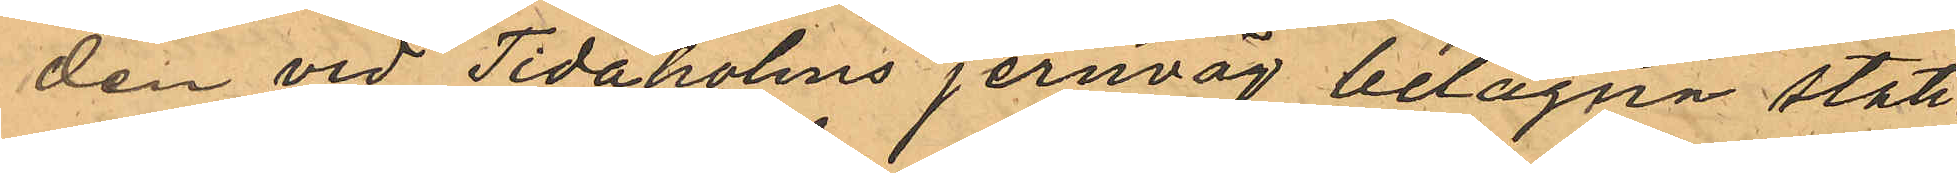den vid Tidaholms jernväg belägna stati¬
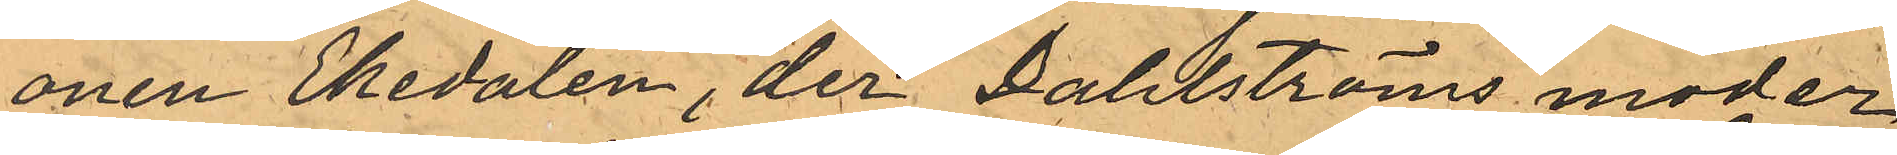onen Ekedalen, der Dahlströms moder
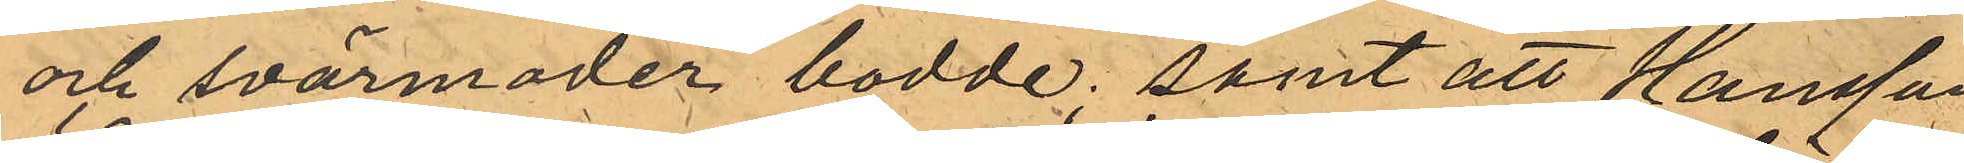och svärmoder bodde; samt att Hansson
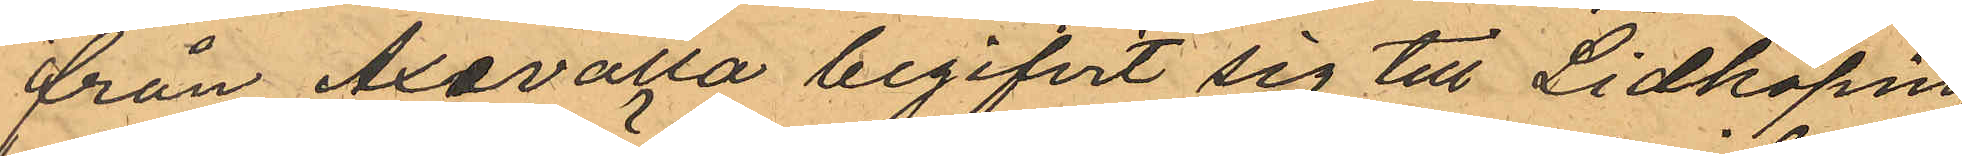från Axevalla begifvit sig till Lidköping
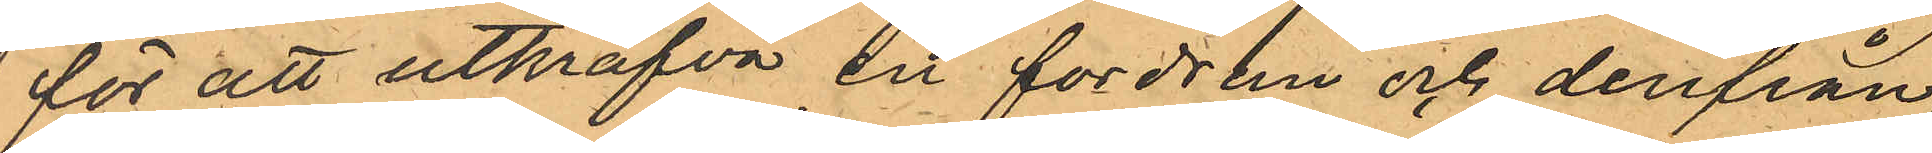för att utkräfva en fordran och derifrån,
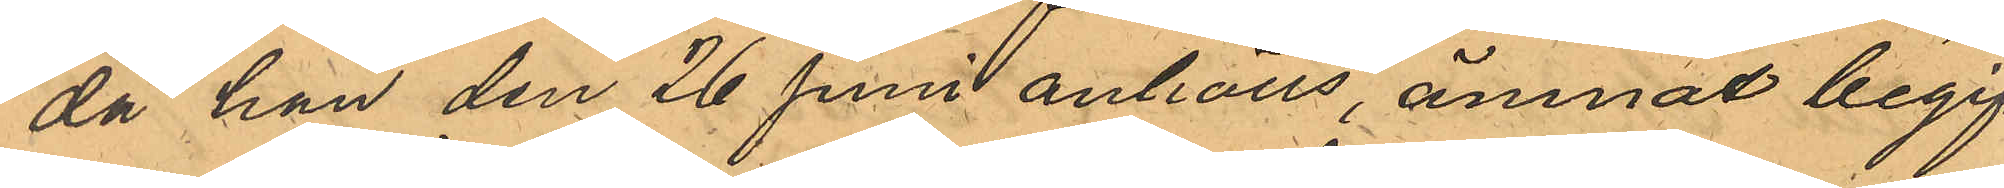då han den 26 Juni anhölls, ämnat begif¬
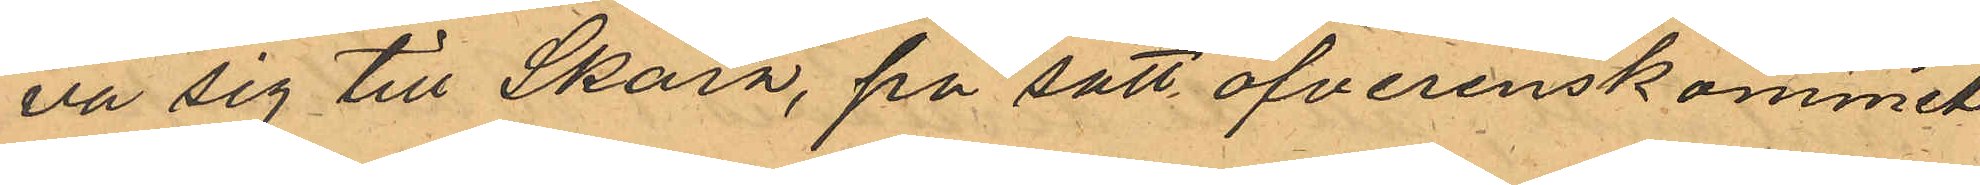va sig till Skara, på sätt ofverenskommit
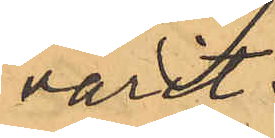varit.
